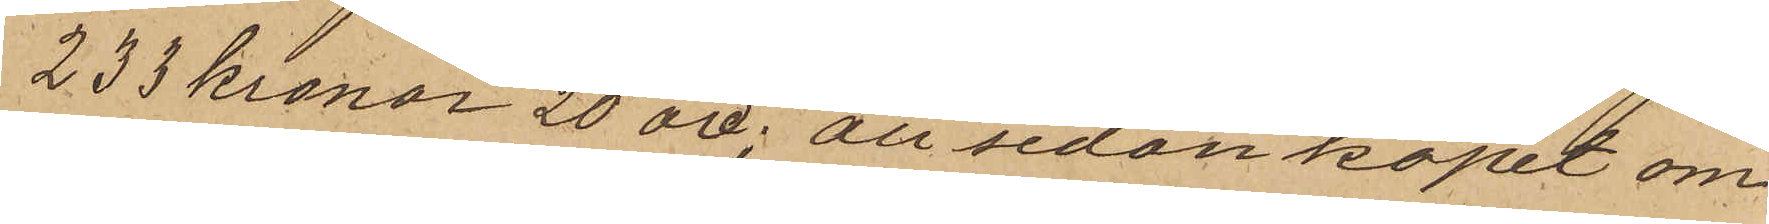233 kronor 20 öre; att sedan köpet om
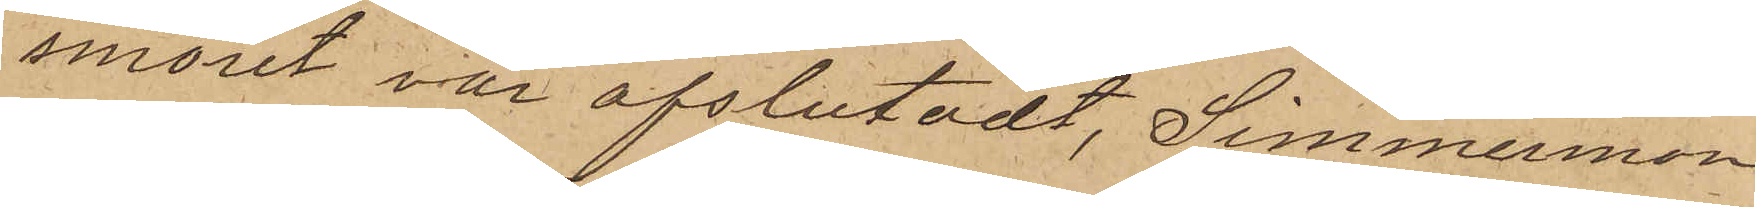smöret var afslutadt, Simmermon
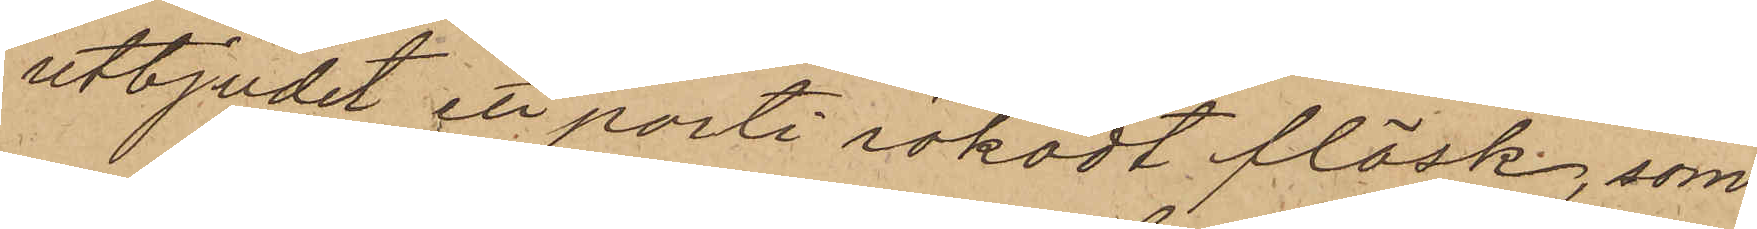utbjudit ett parti rökadt fläsk, som
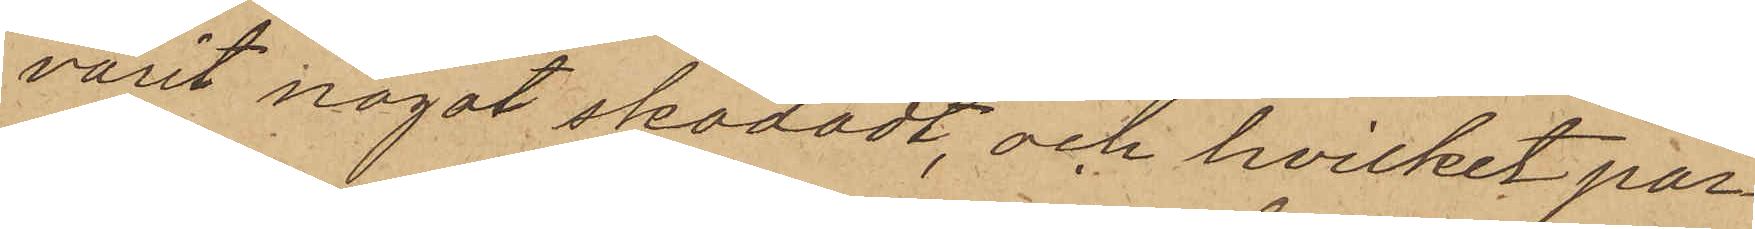varit något skadadt, och hvilket par¬
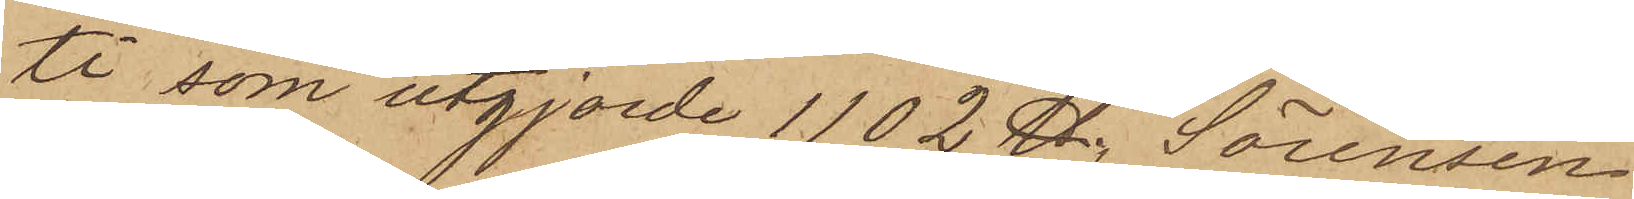ti, som utgjorde 1102 ℔, Sörensen
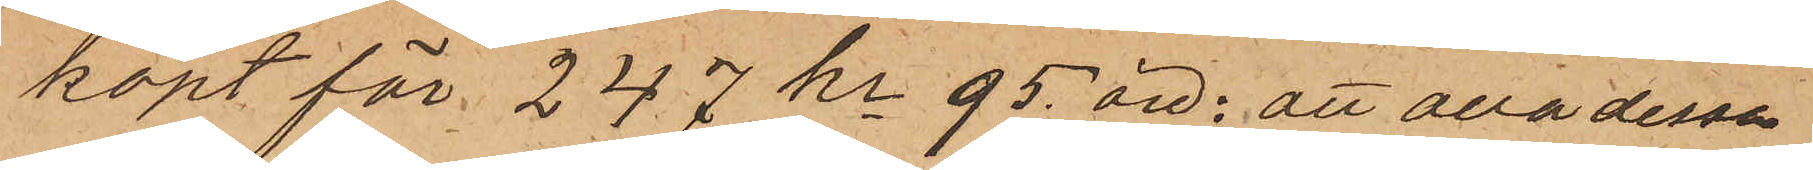köpt för 247 kr 95 öre. att alla dessa
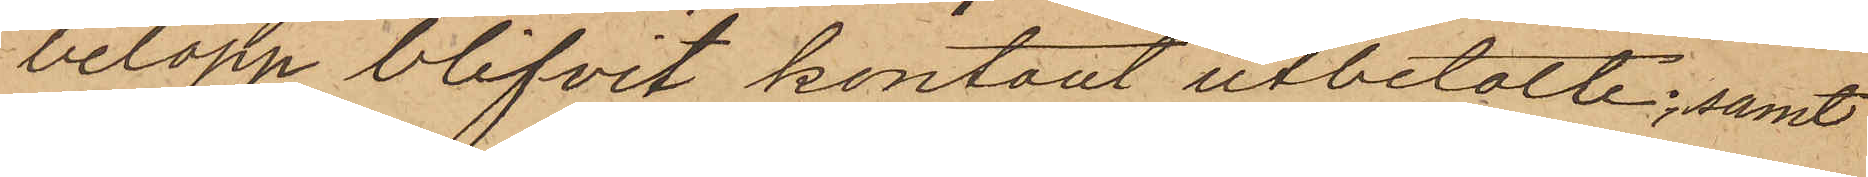belopp blifvit kontant utbetalte; samt
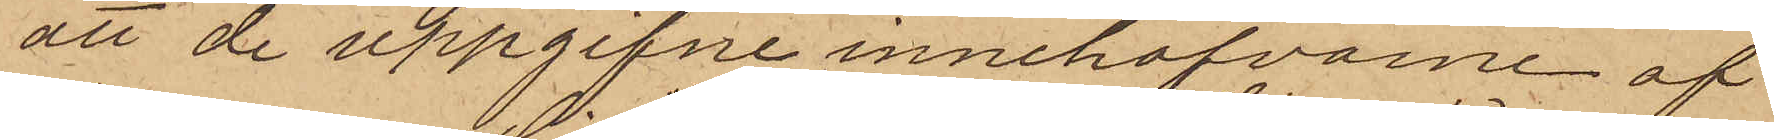att de uppgifne innehafvarne af
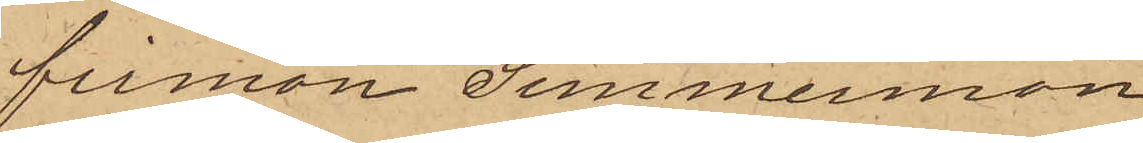firman Simmermon
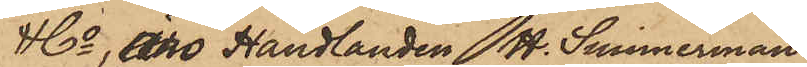& Co, äro Handlanden H. Simmermon
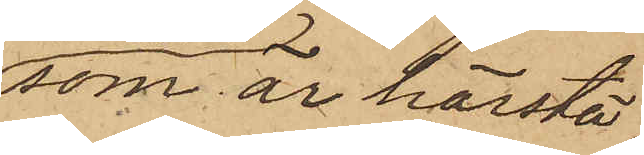som är härstä¬
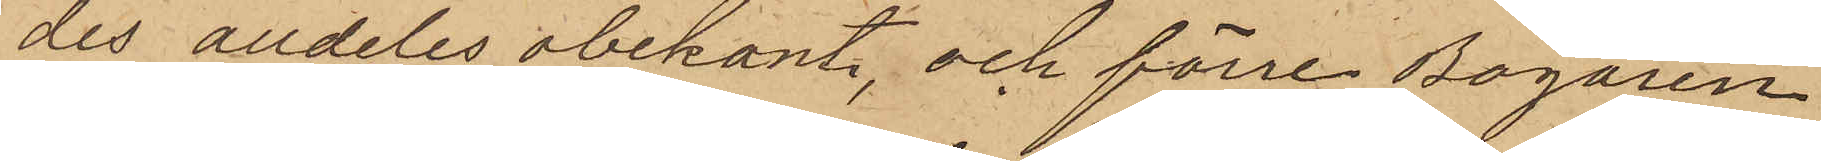des alldeles obekant, och förre Bogaren
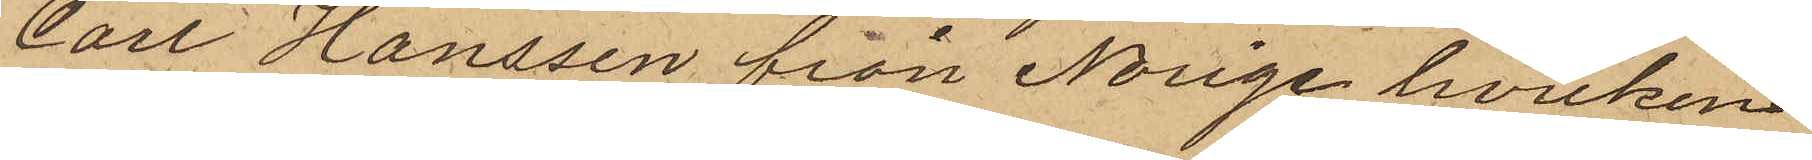Carl Hanssen från Norige hvilken
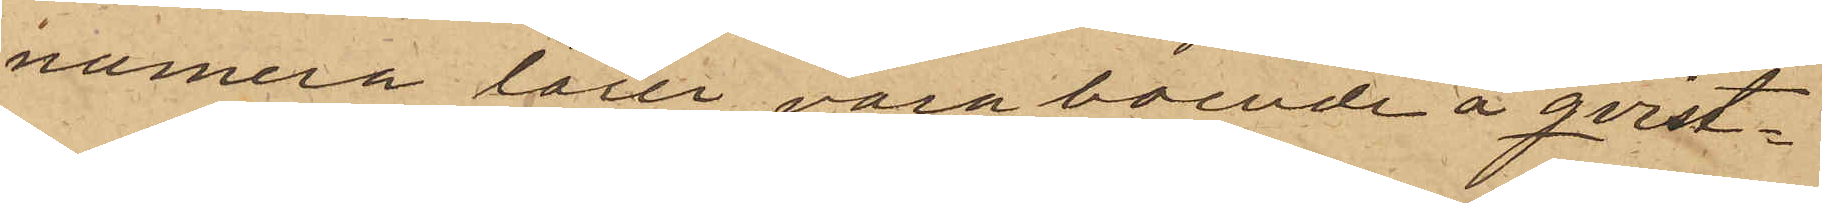numera lärer vara boende å qvist¬
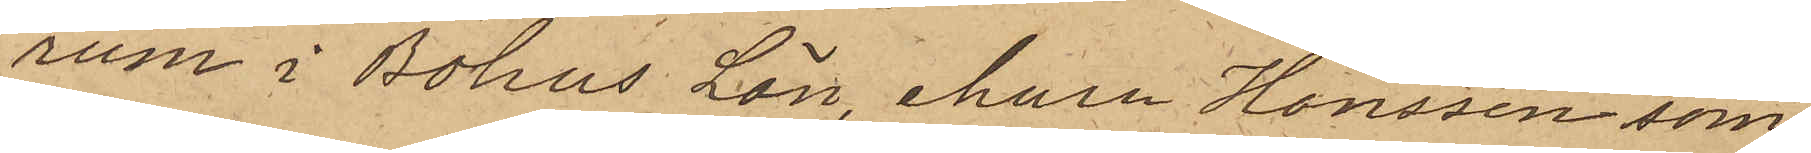rum i Bohus Län, ehuru Hanssen som
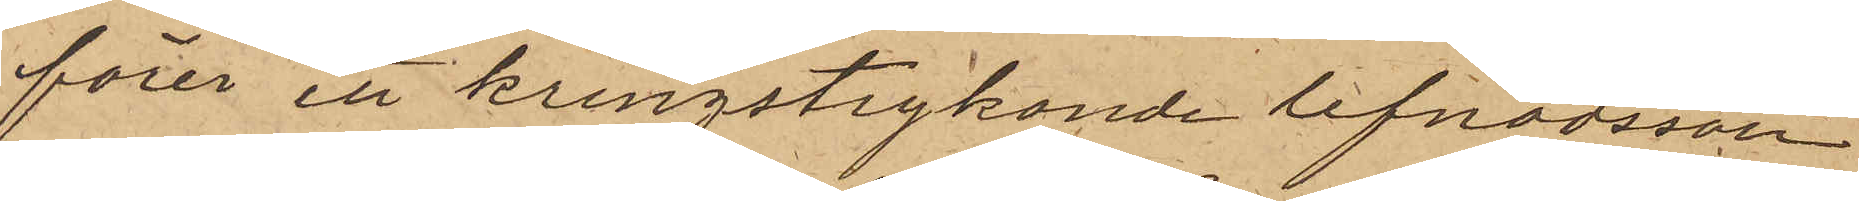förer ett kringstrykande lefnadssätt
